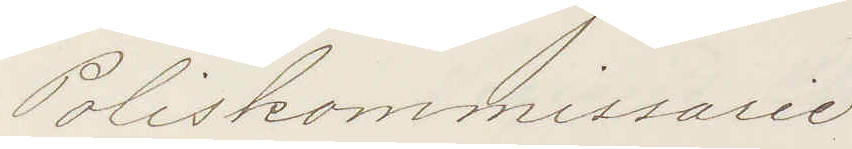Poliskommissarie
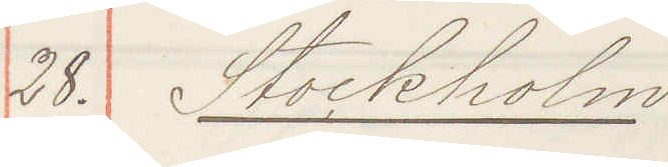28. Stockholm
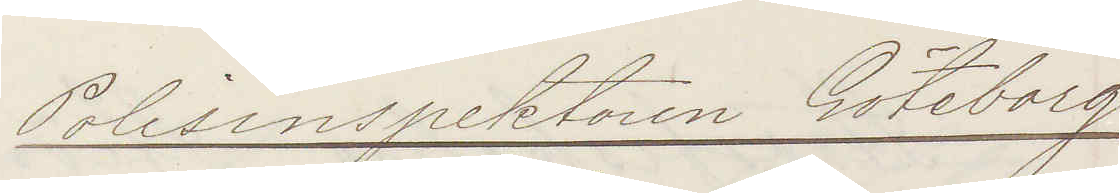Polisinspektoren Göteborg.
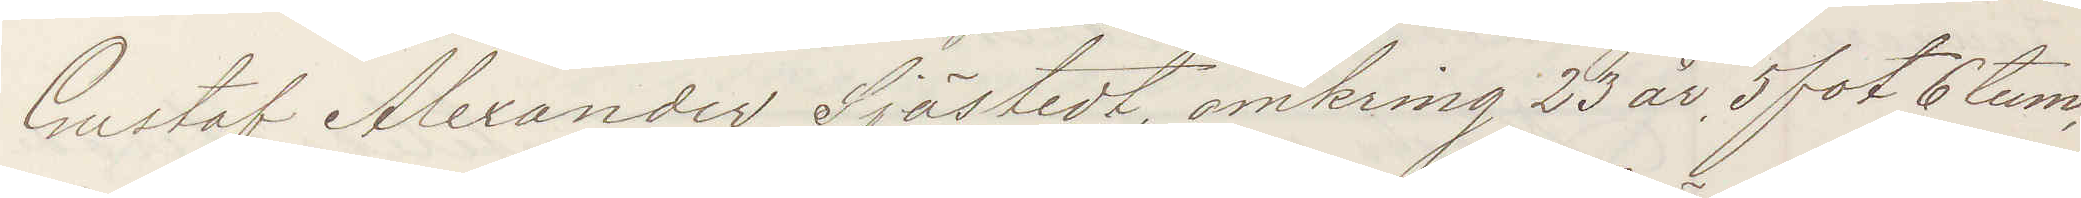Gustaf Alexander Sjöstedt omkring 23 år 5 fot 6 tum,
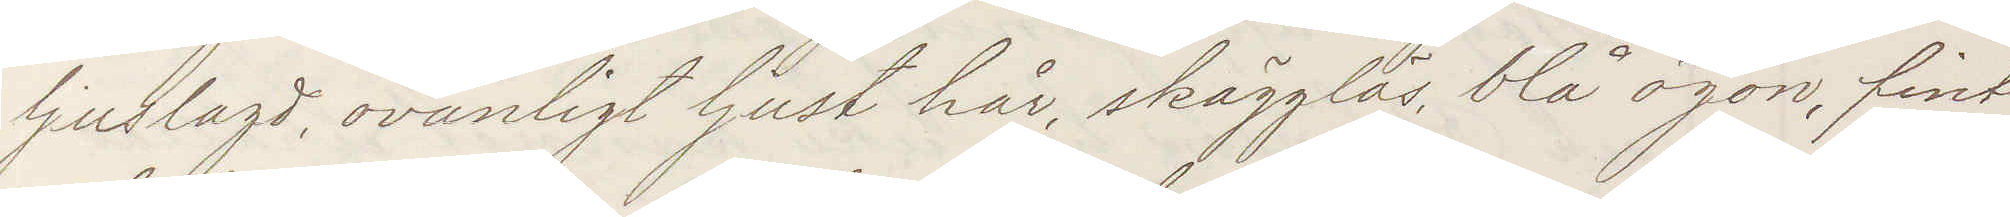ljuslagd, ovanligt ljust hår, skägglös, blå ögon, fint
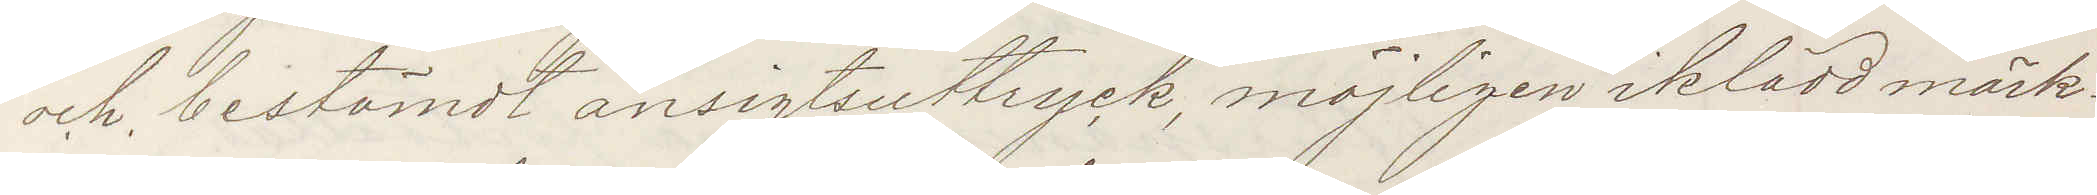och bestämdt ansigtsuttryck, möjligen iklädd mörk¬
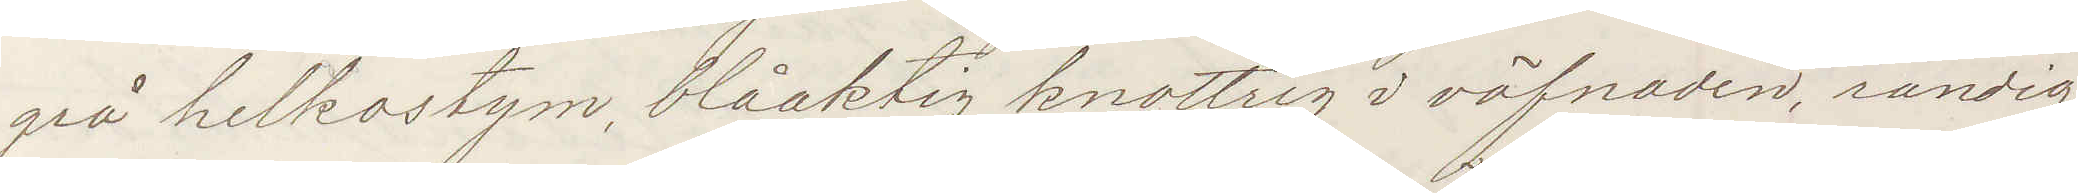grå helkostym, blåaktig knottrig i väfnaden, randig
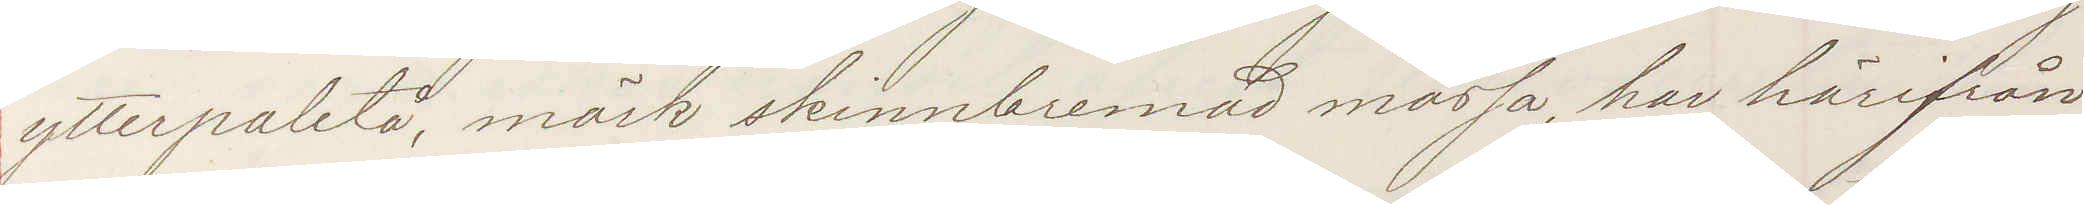ytterpaletå, mörk skinnbremad mössa, har härifrån
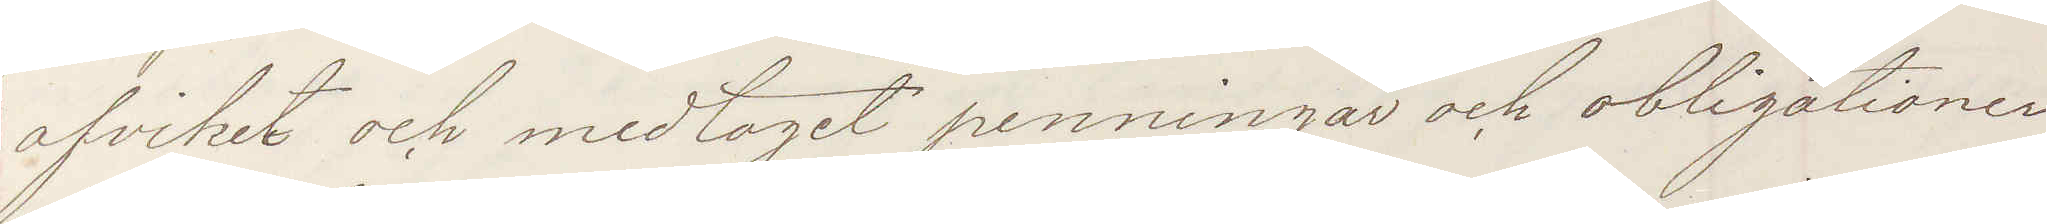afviket och medtagit penningar och obligationer
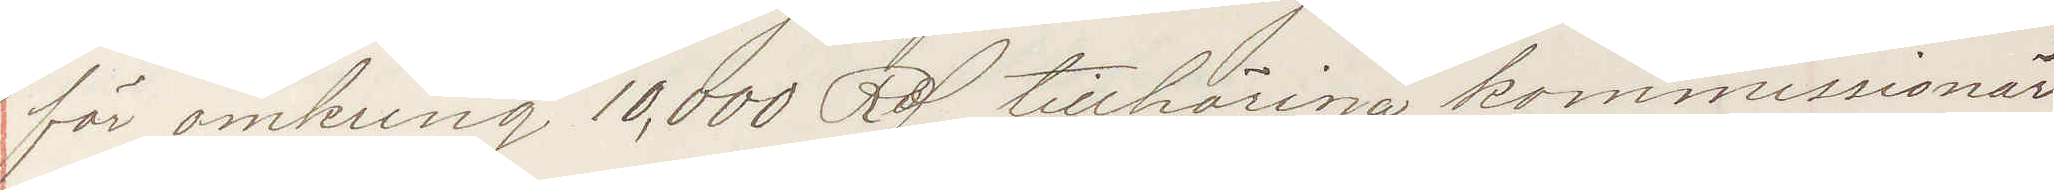för omkring 10,000 Rd. tillhöriga kommissionär
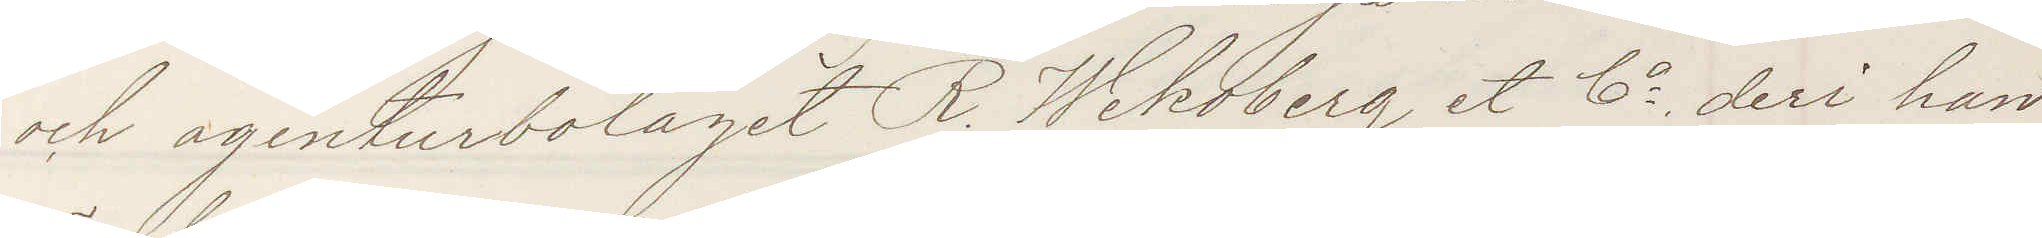och agenturbolaget R Wekoberg et Co deri han
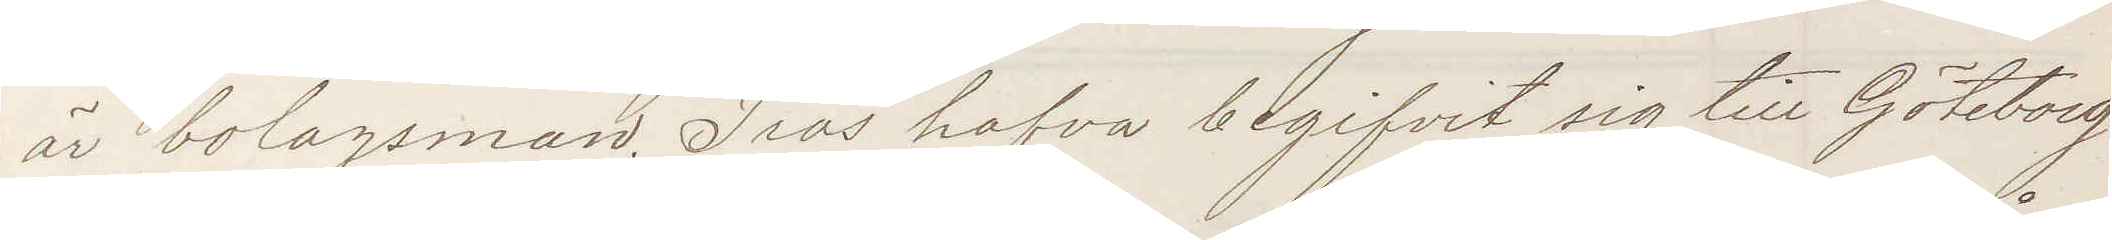är bolagsman. Tros hafva begifvit sig till Göteborg
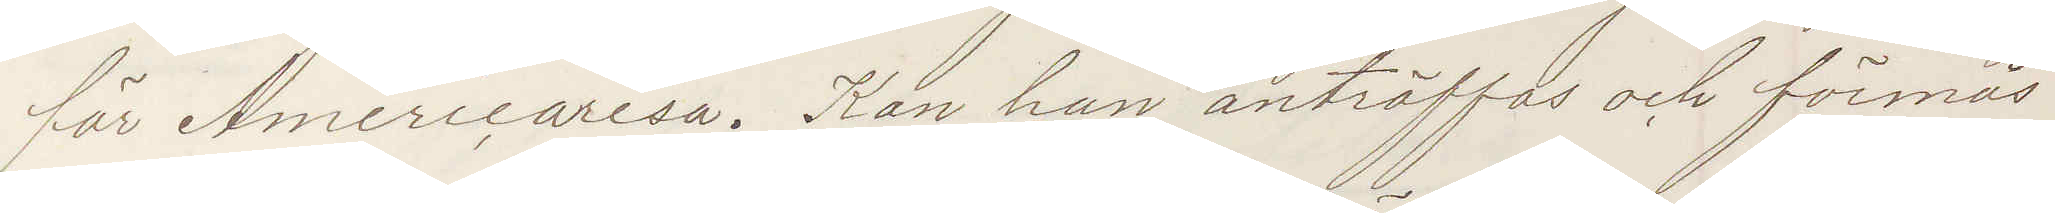för Americaresa. Kan han anträffas och förmås
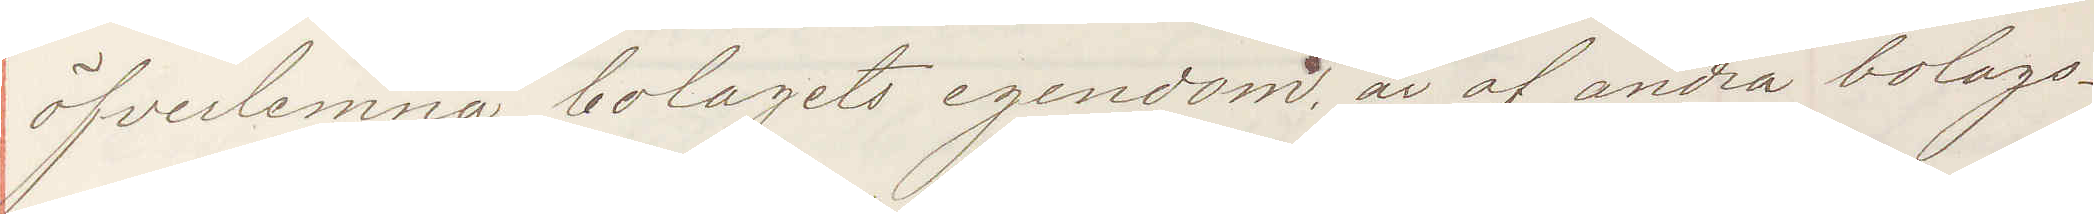öfverlemna bolagets egendom, är af andra bolags¬
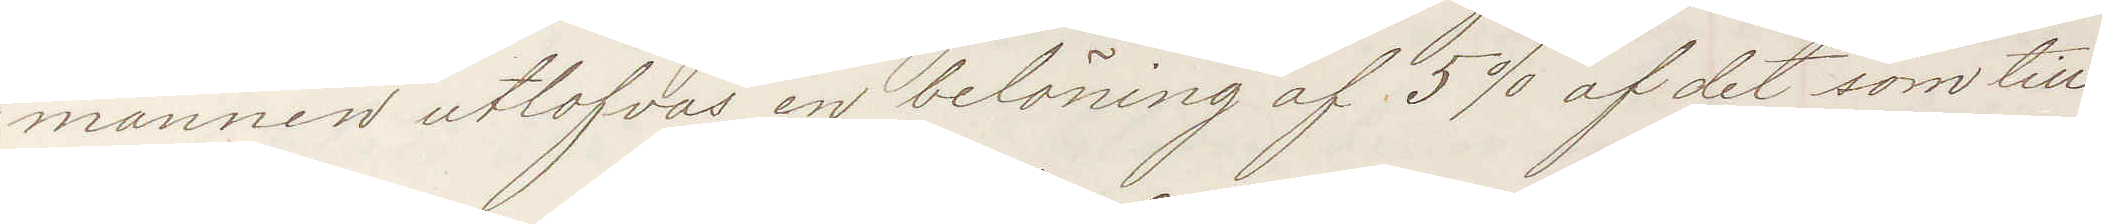mannen utlofvas en belöning af 5% af det som till¬
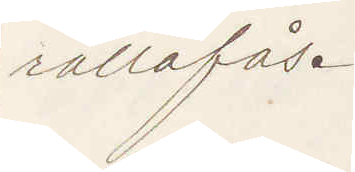rättafås.
